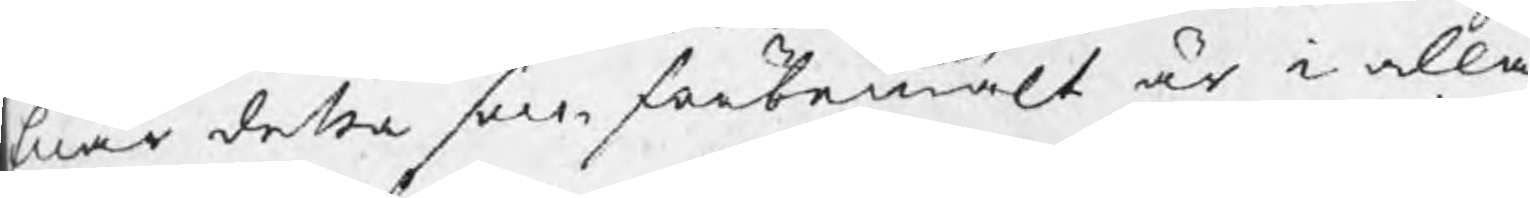Enär detta som förbemält är i alla
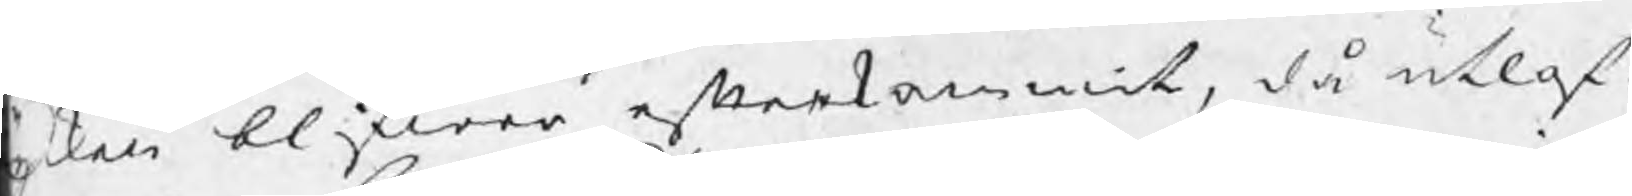ycken blifwer efterkommit, då utlof¬
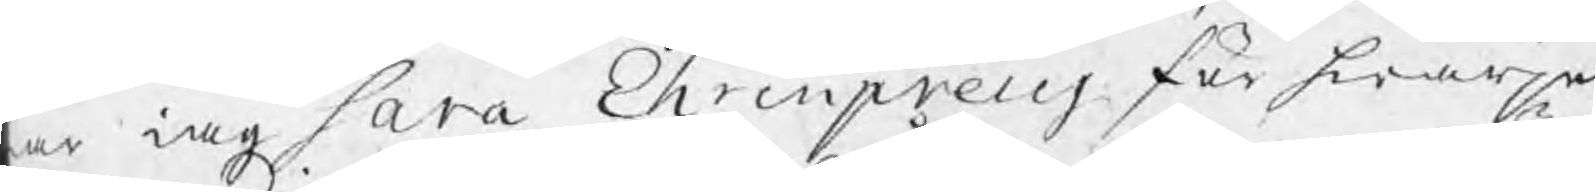ar iag Sara Ehrenpreus för hwarje
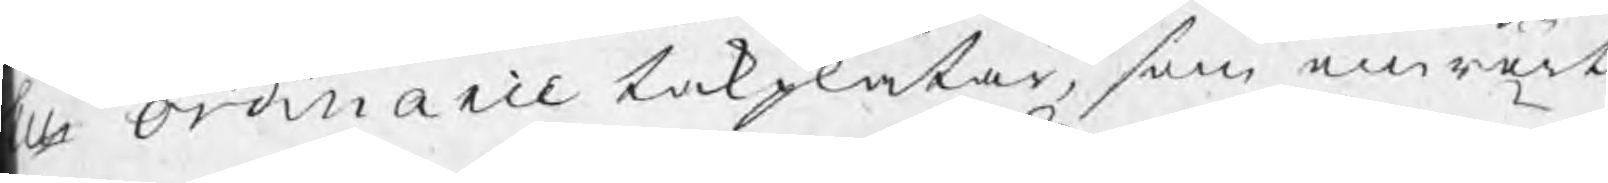ll ordinarie takplåtar, som anmält
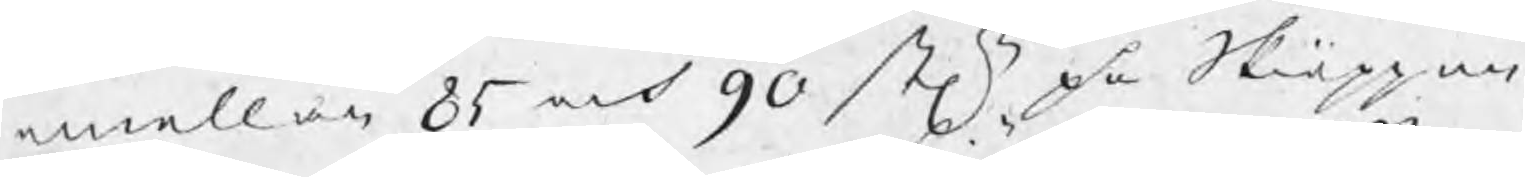emellan 85 och 90 stn på Skiäppun¬
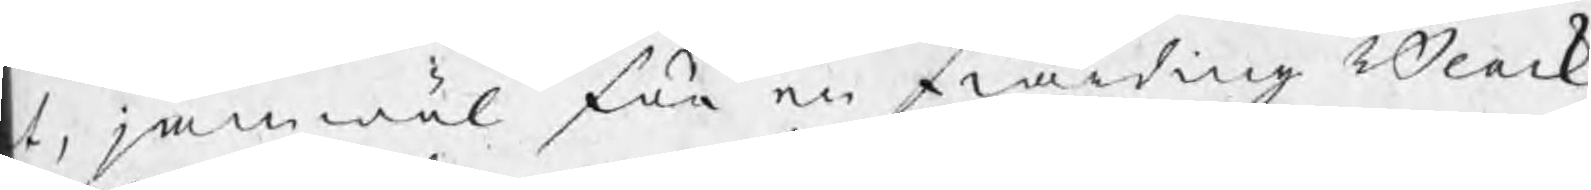t, jämwäl för en fiärding Bleck
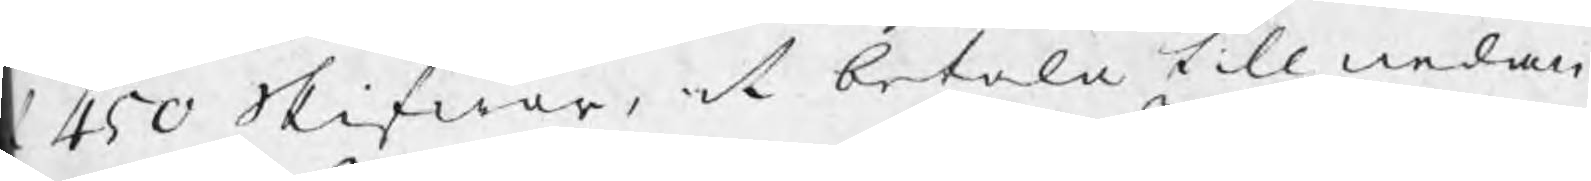' 450 Skifwor, at betala till nedan¬
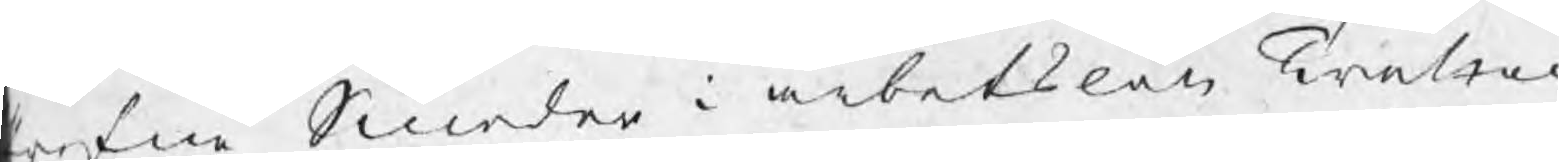refne Smeder i arbetslön Tretio¬
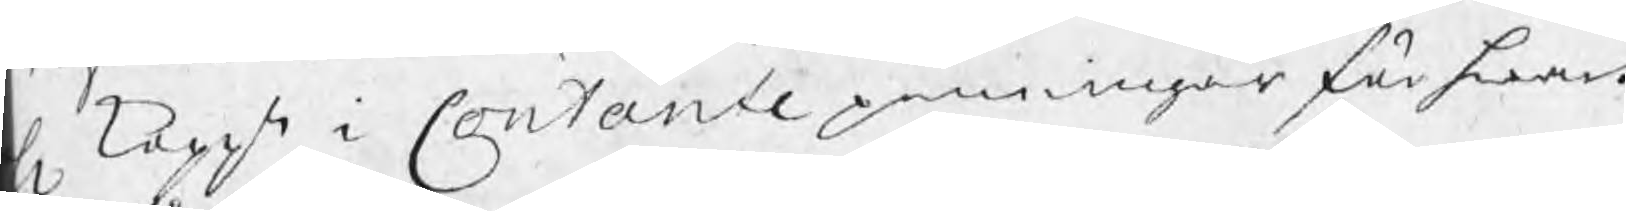l koppt i Contante penningar för hwart
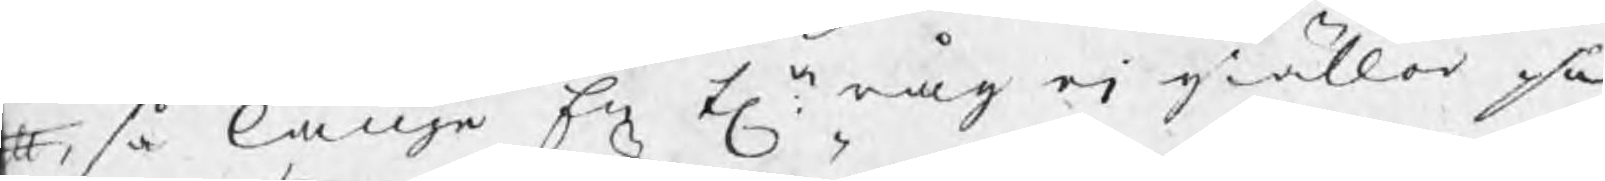#, så länge En ta råg ej giäller på
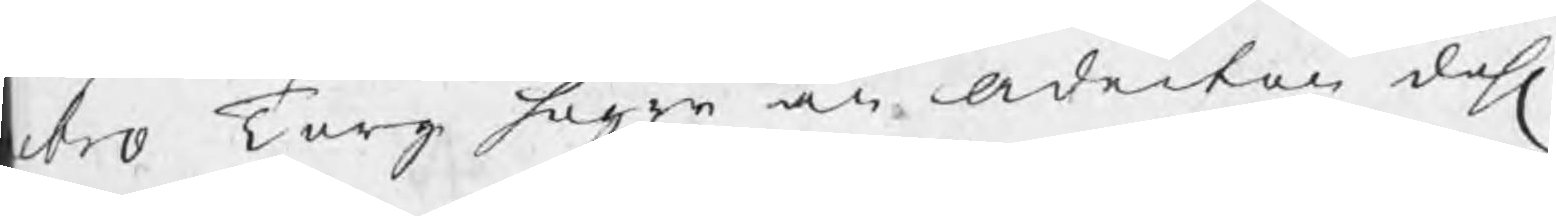ebro Torg högre än Aderton dahl
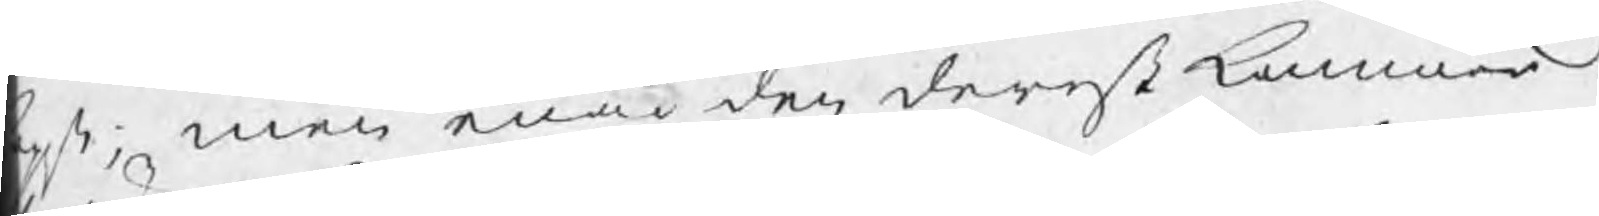pt; men enär den derest kommer
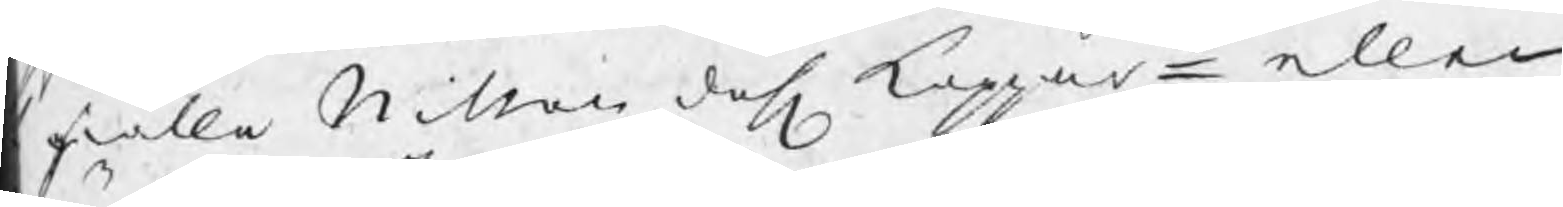fälla Nitton dahl koppart eller
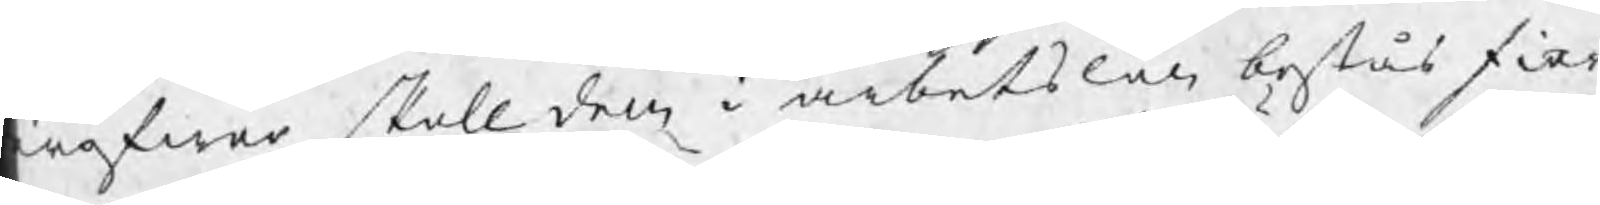röfwer, skall den i arbetslön bestås fior¬
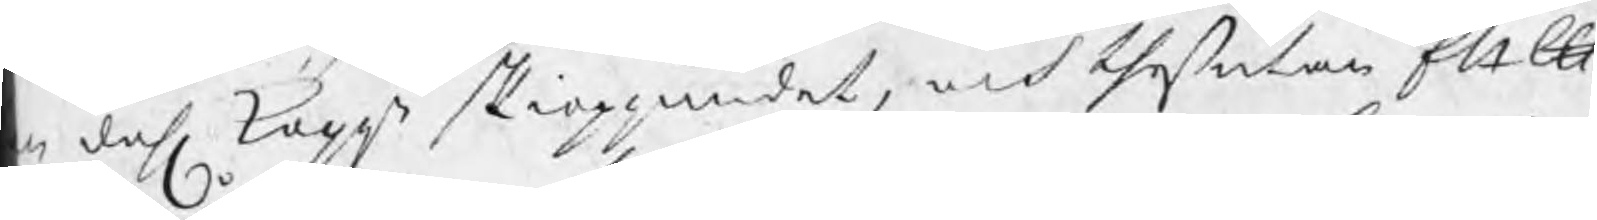n dahl koppt skieppundet, och theßutan Ett ℔
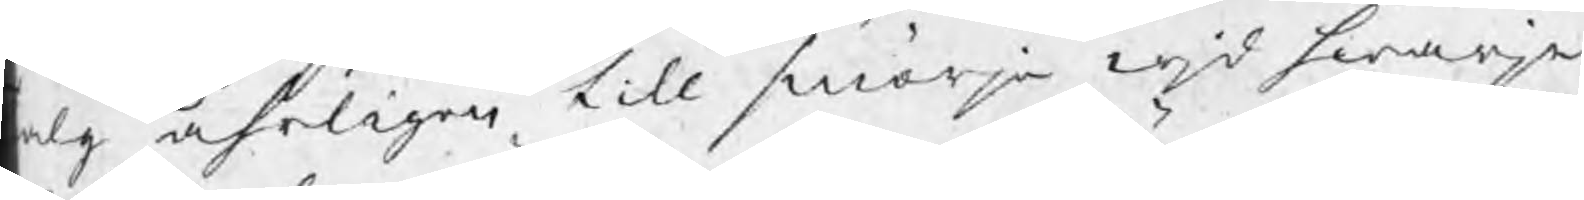alg åhrligen till smörja wjd hwarje
